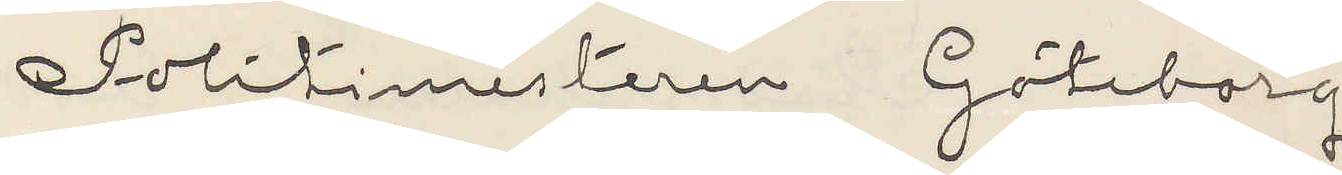Politimesteren Göteborg
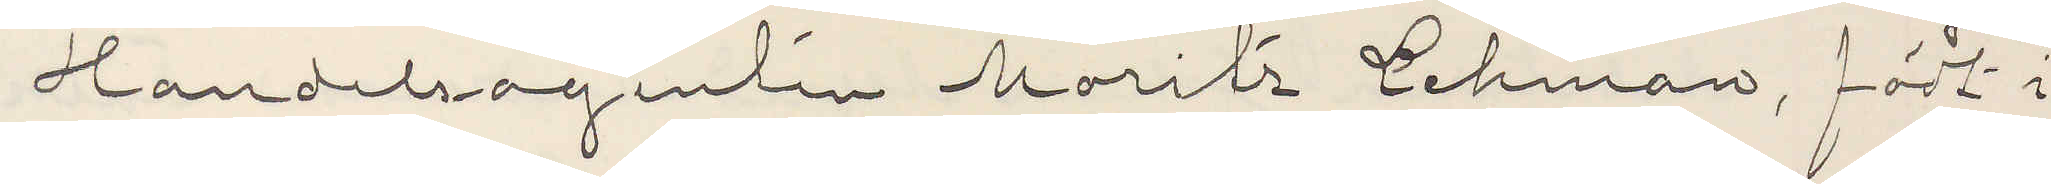Handelsagenten Moritz Lehman, födt i
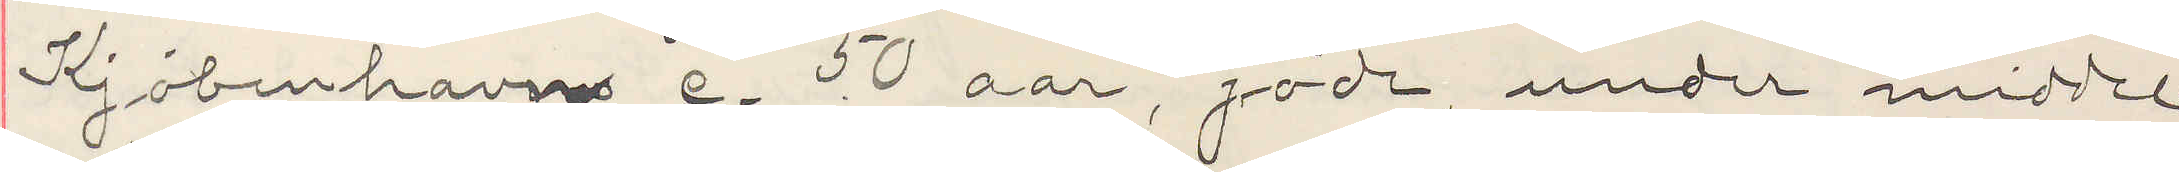Kjöbenhavn c. 50 aar, jöde, under middel¬
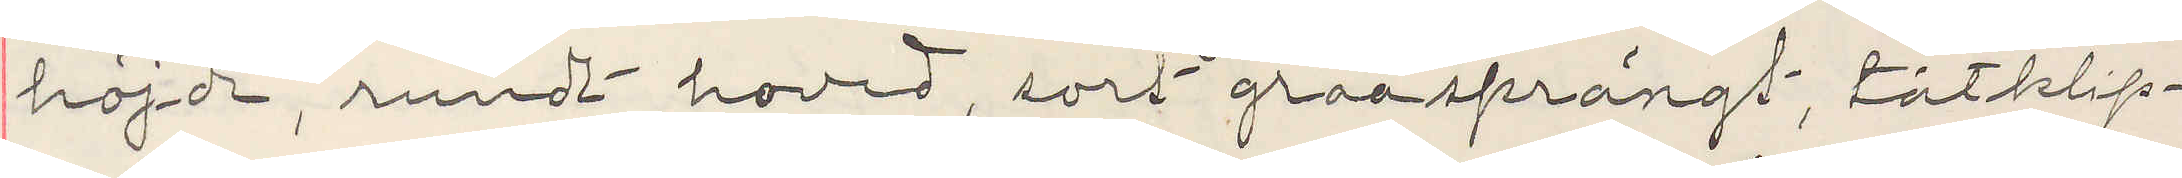höjde, rundt hoved, sort graasprängt, tätklip¬
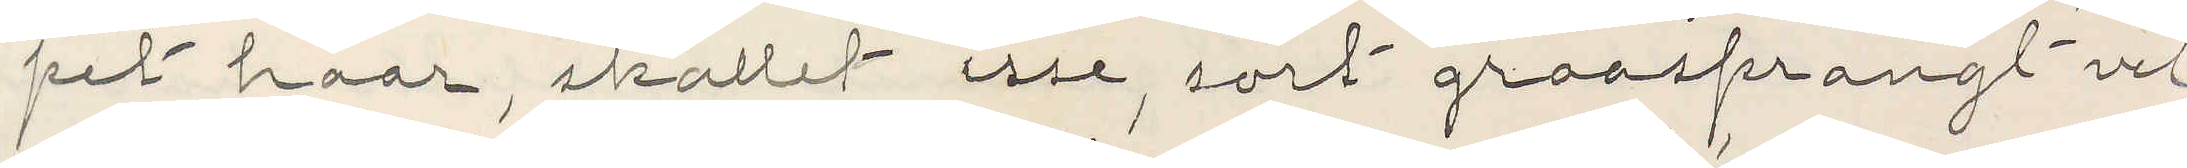pet haar, skallet isse, sort graasprangt vel¬
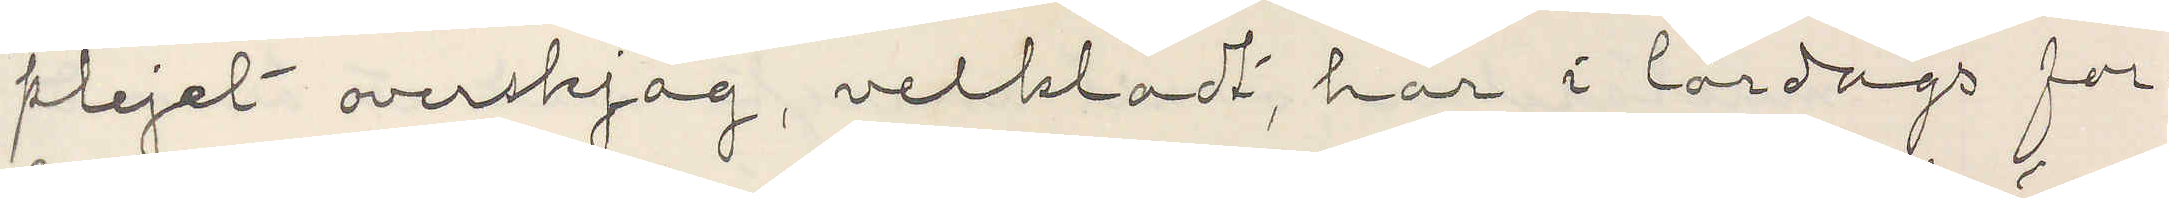plejet overskjäg, velkladt, har i lördags for¬
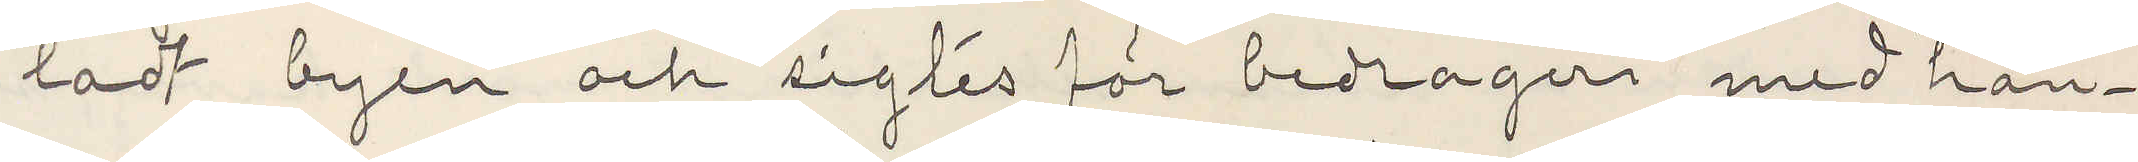ladt byen och sigtes för bedrageri med hän¬
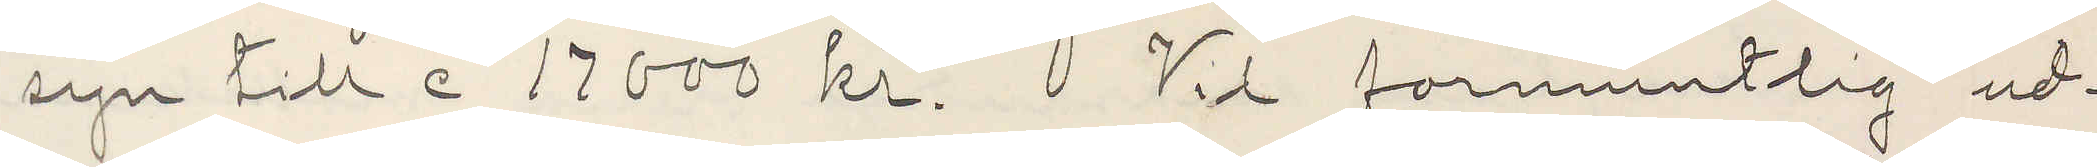syn till c 17000 kr. Vid formentlig ud¬
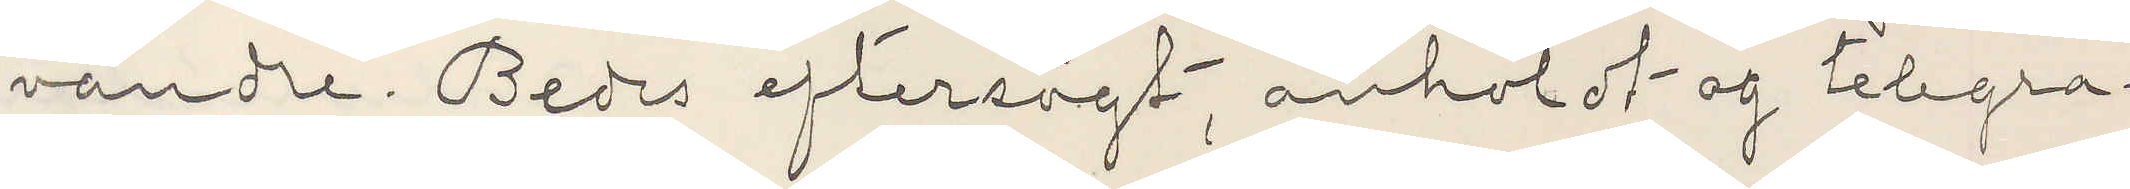vandre. Bedes eftersögt, anholdt og telegra¬
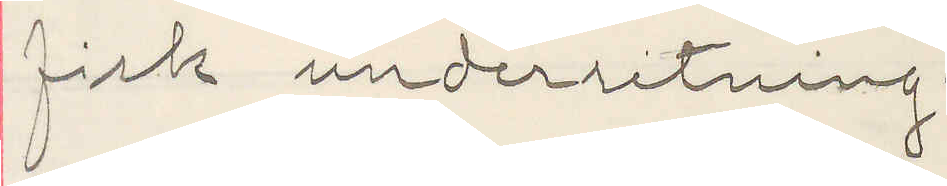fisk underretning.
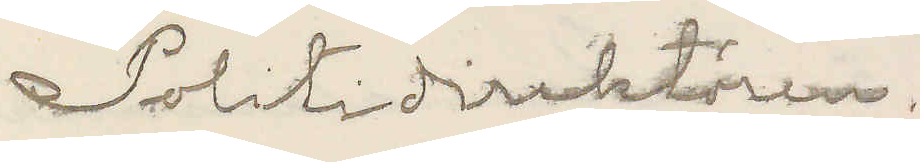Politidirektören.
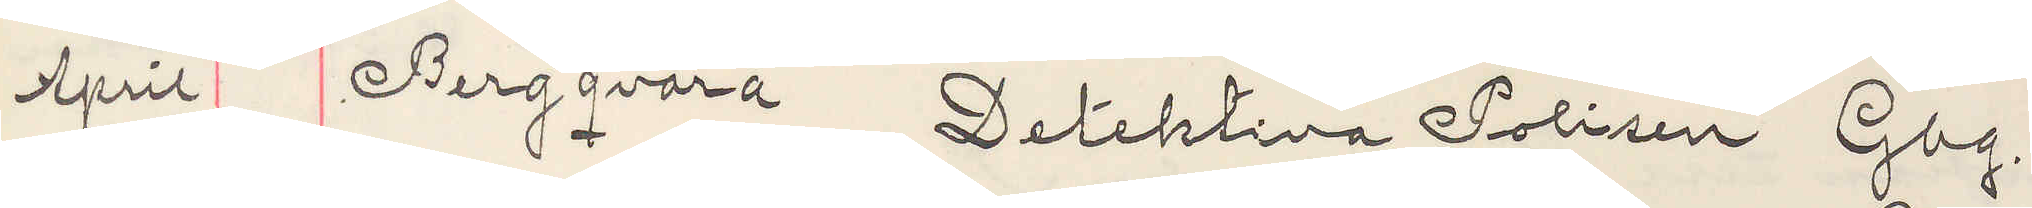April Bergqvara Detektiva Polisen Gbg.
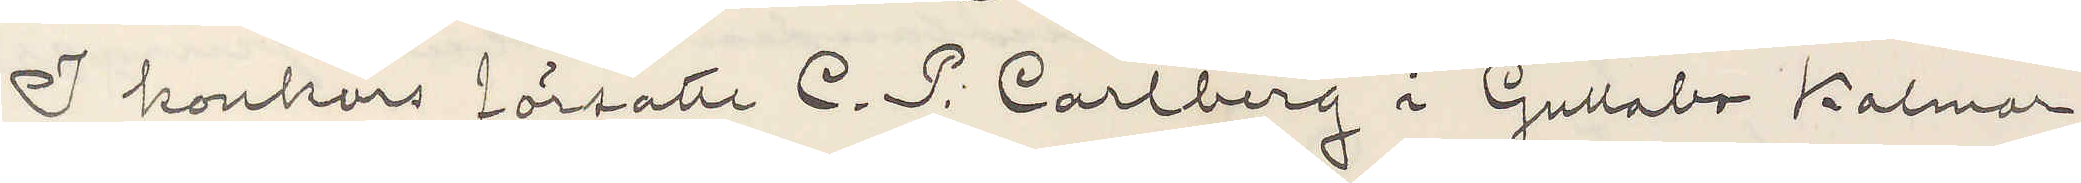I konkurs försatte C. P. Carlberg i Gullabo Kalmar
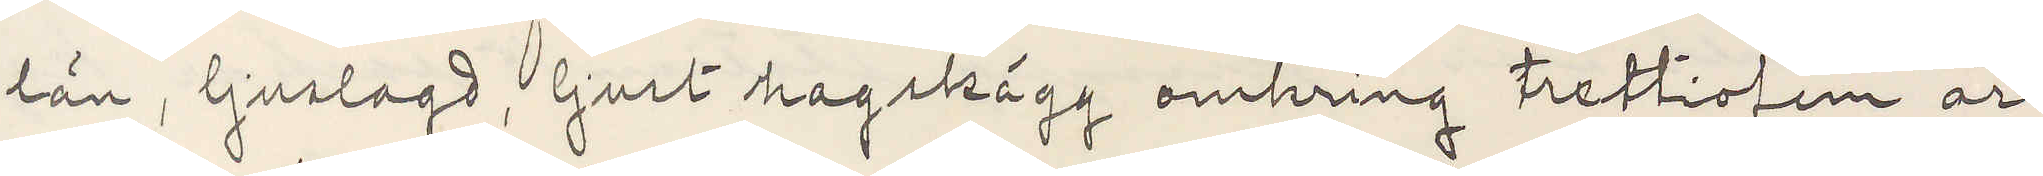län, ljuslagd, ljust hagskägg omkring trettiofem år,
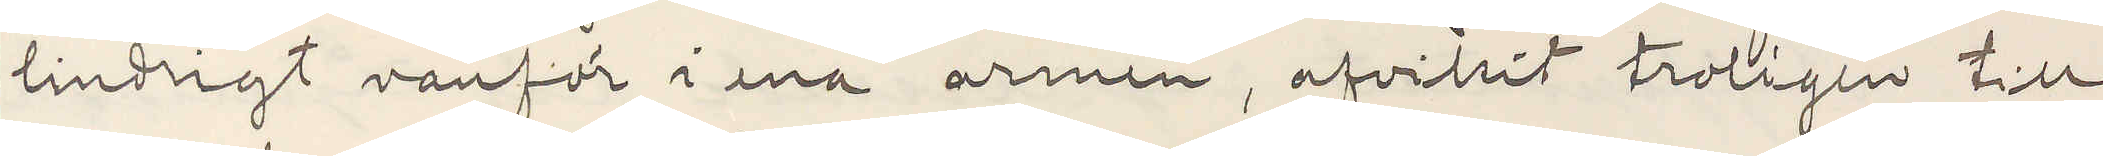lindrigt vanför i ena armen, afvikit troligen till
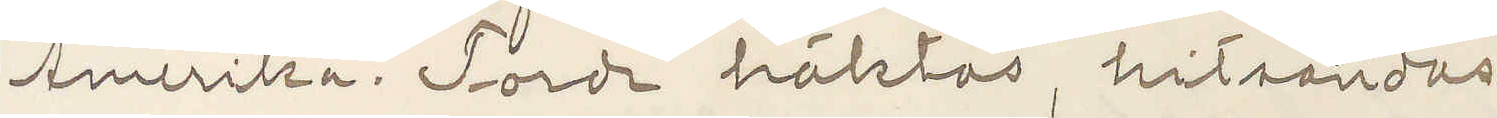Amerika. Torde häktas, hitsändas
